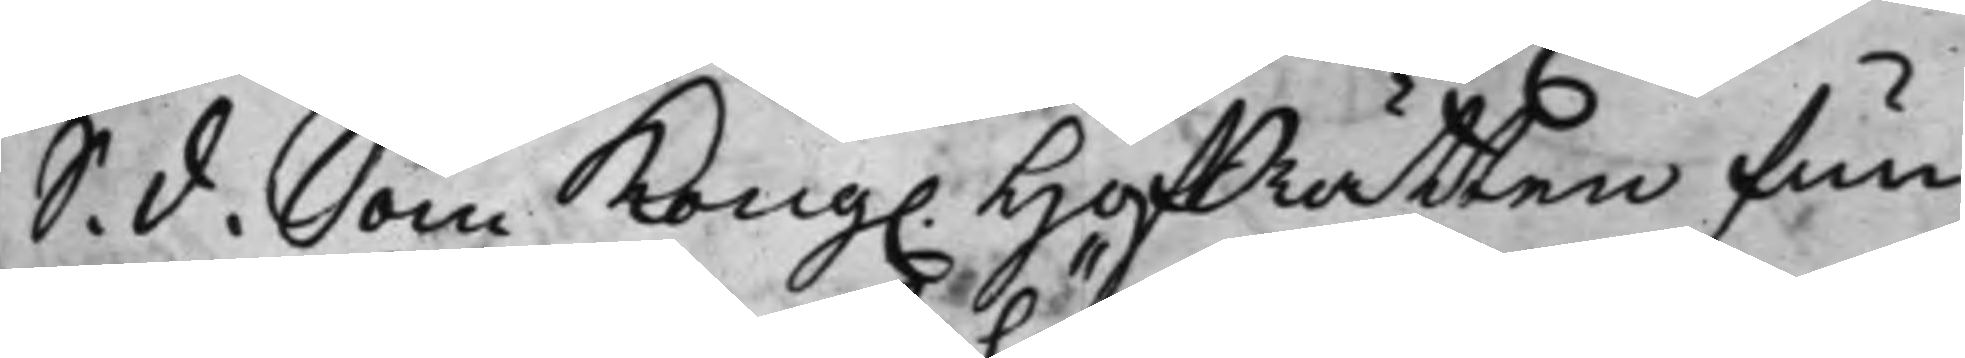S. d. Som Kong. HofRätten fun¬
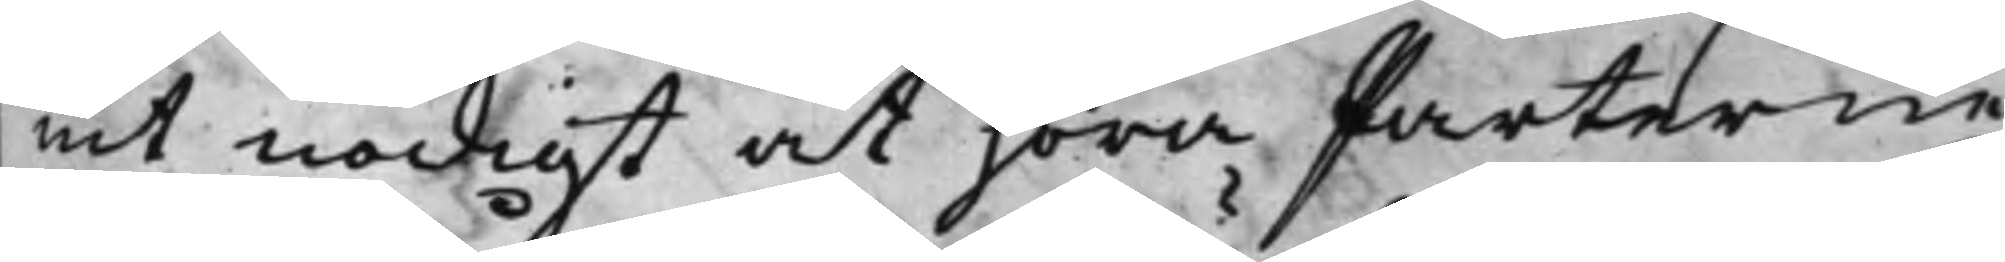nit nödigt at höra Parterne,
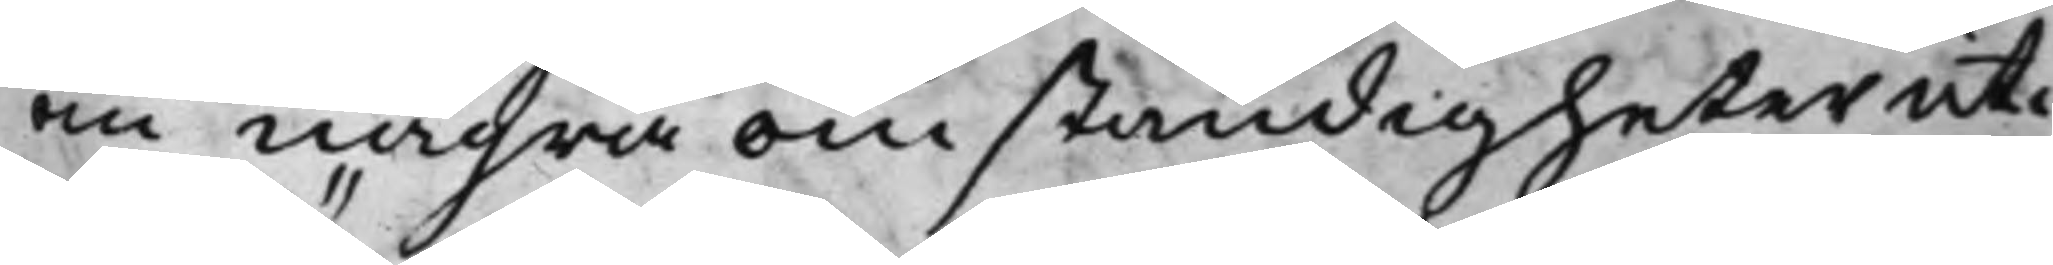om några omständigheter uti
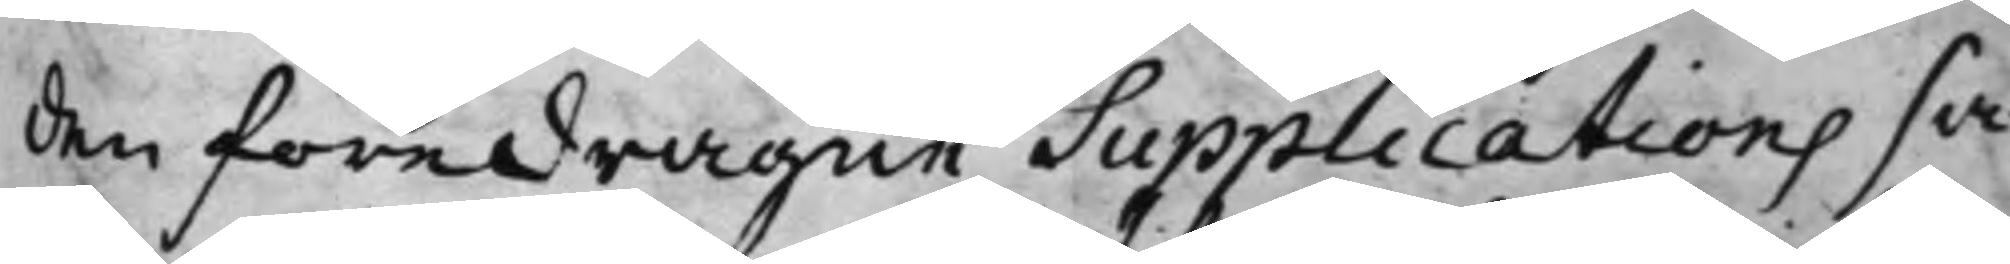den föredragne Supplications sa¬
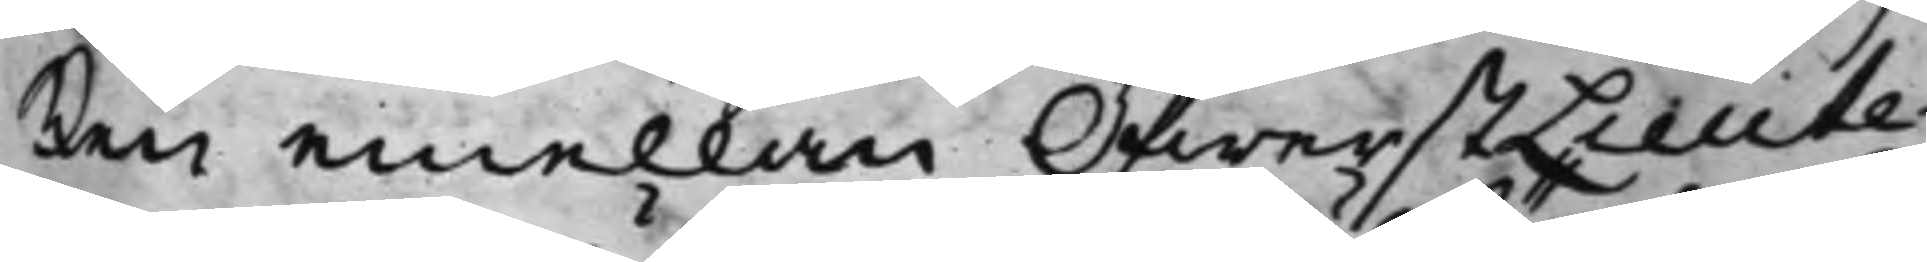ken emellan ÖfwerstLieute¬
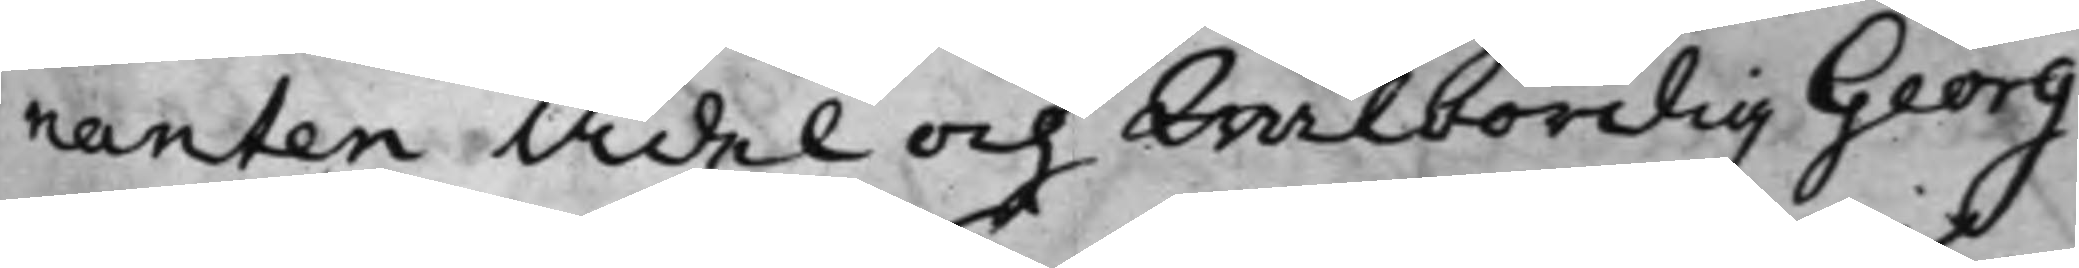nanten Ädel och Wälbördig Georg
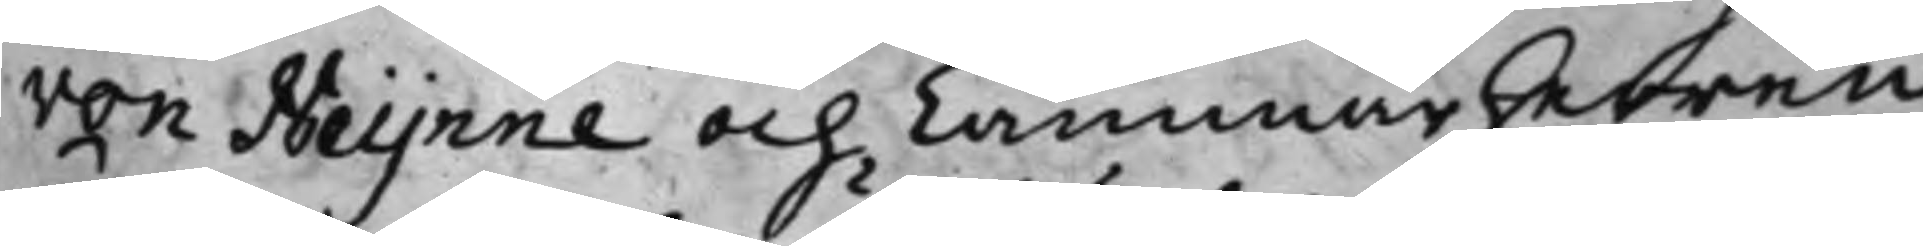von Heynne och Cammarherren
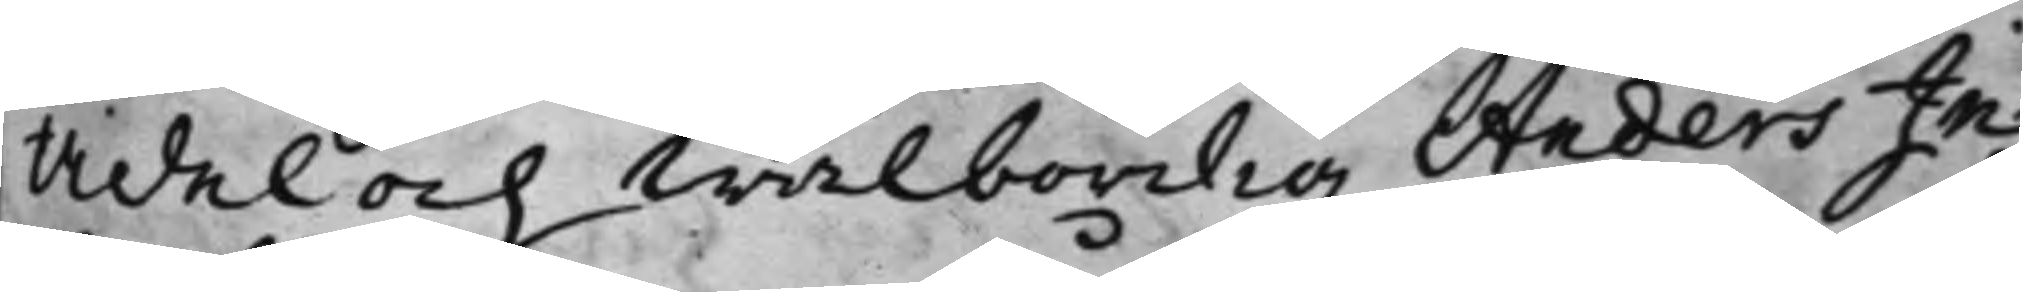Ädel och Wälbördig Anders In¬
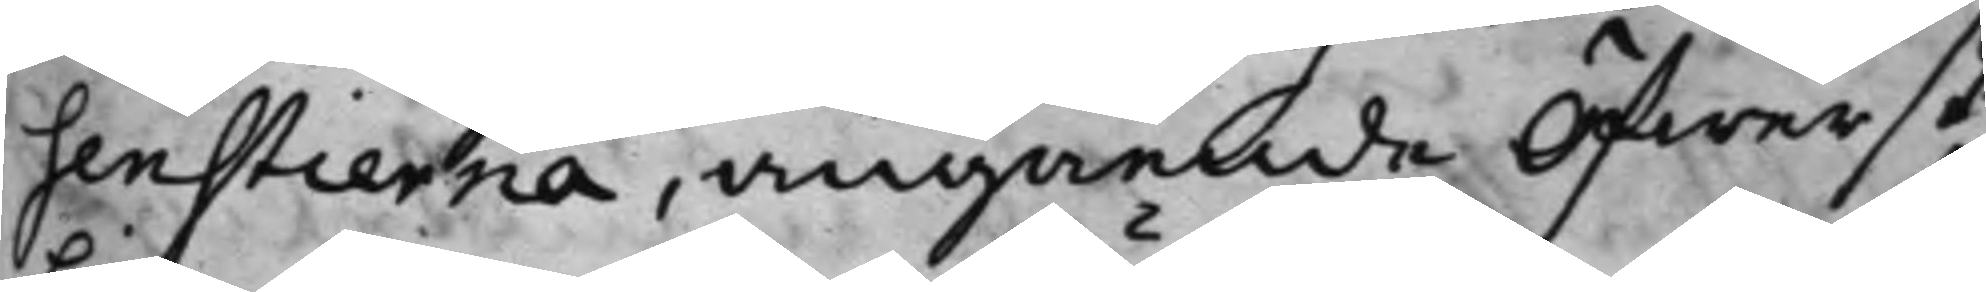senstierna, angående Öfwerste¬
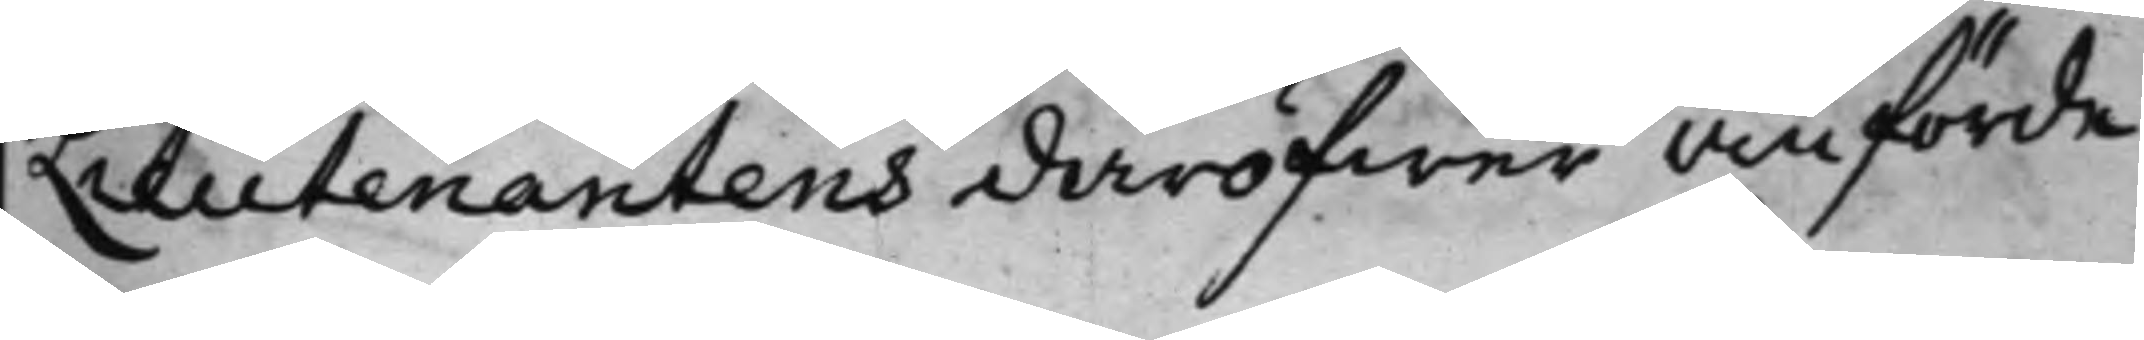Lieutenantens däröfwer anförde
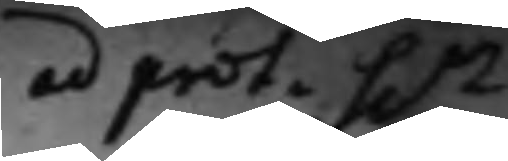ad prot. Sen
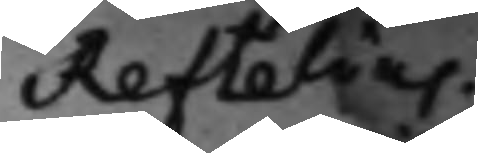Reftelius.
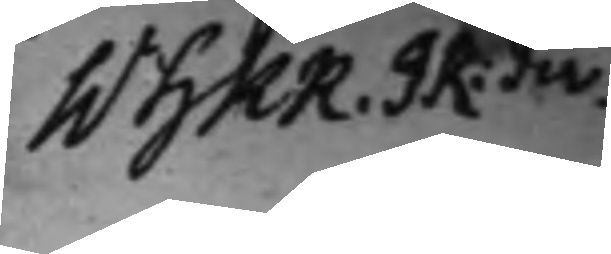WHKR. JR: div.
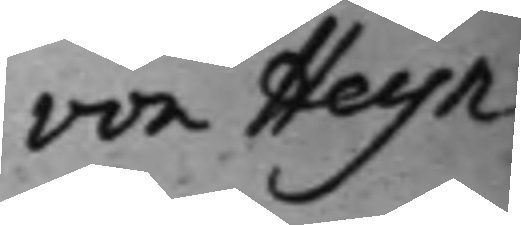von Heyn¬
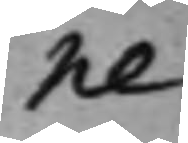ne
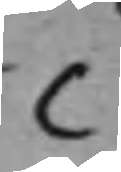C
